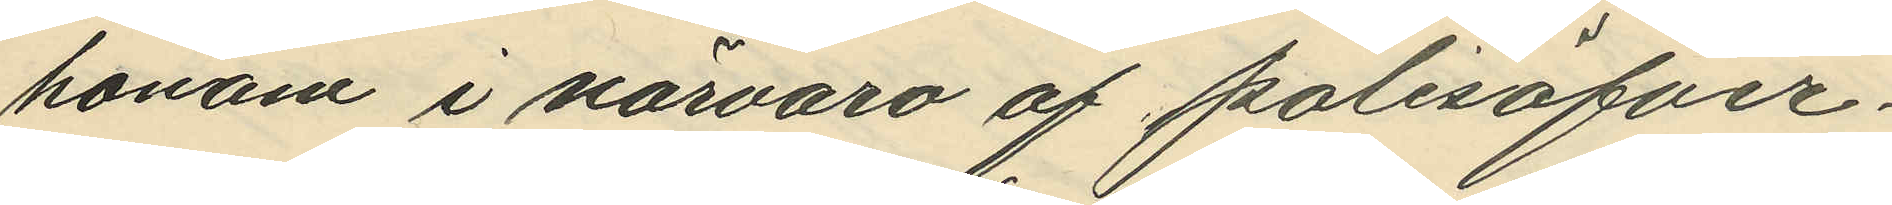honom i närvaro af polisöfver¬
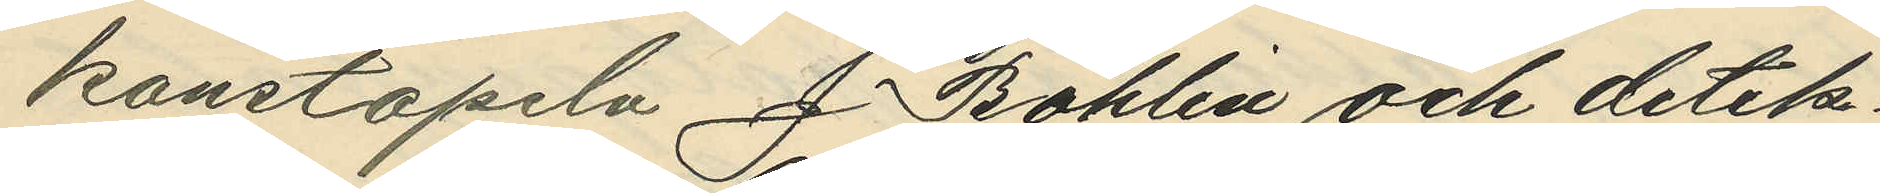konstapeln J. Bohlin och detek¬
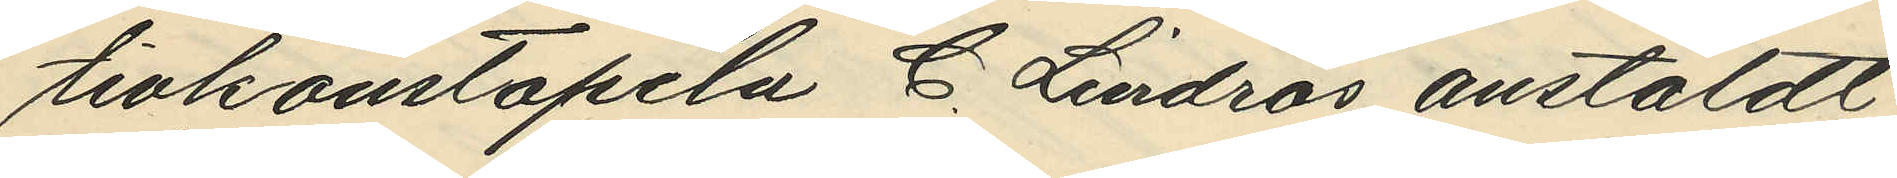tivkonstapeln C. Lindros anstäldt
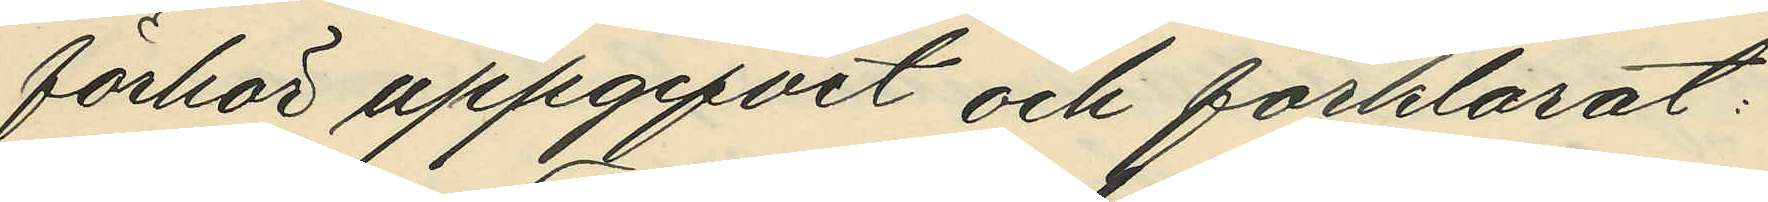förhör uppgifvit och förklarat:
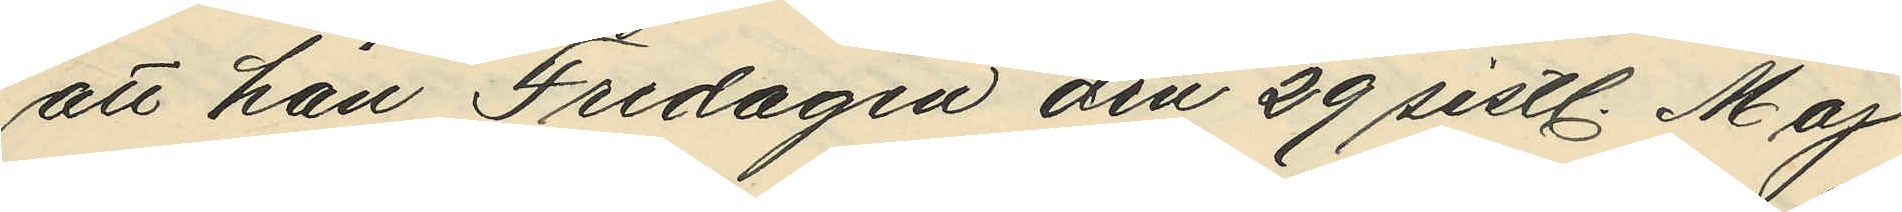att han Fredagen den 29 sistl. Maj
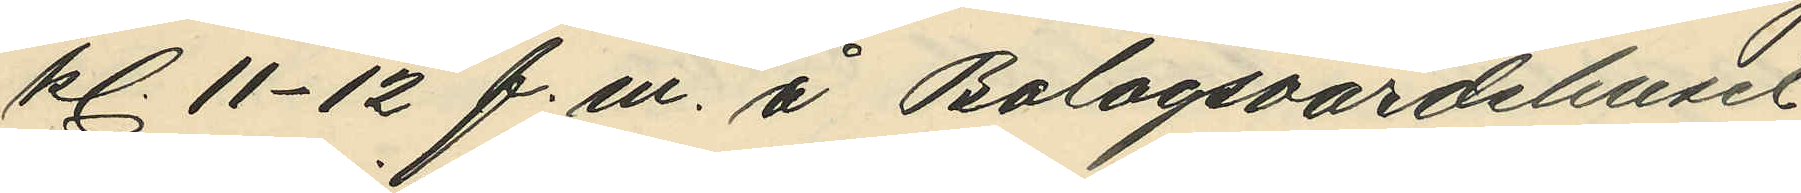kl. 11-12 f. m. å Bolagsvärdshuset
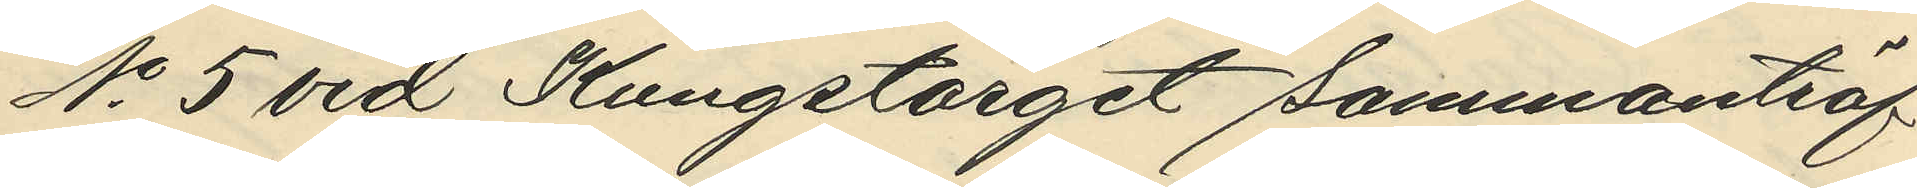No 5 vid Kungstorget sammanträf¬
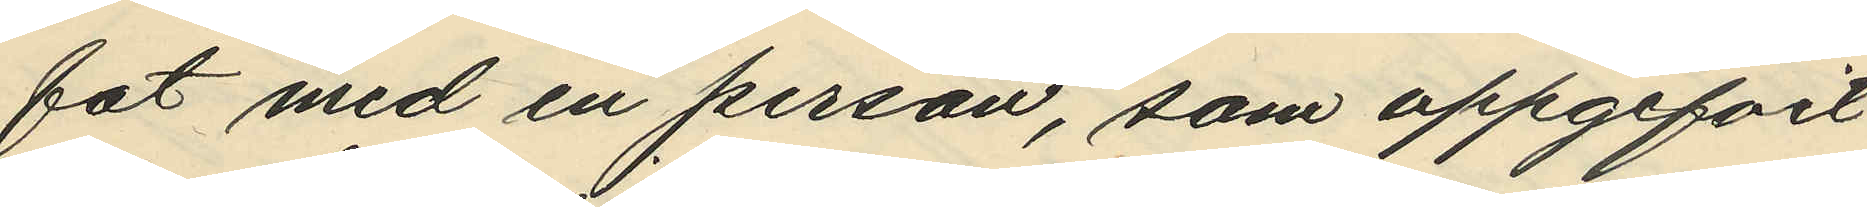fat med en person, som uppgifvit
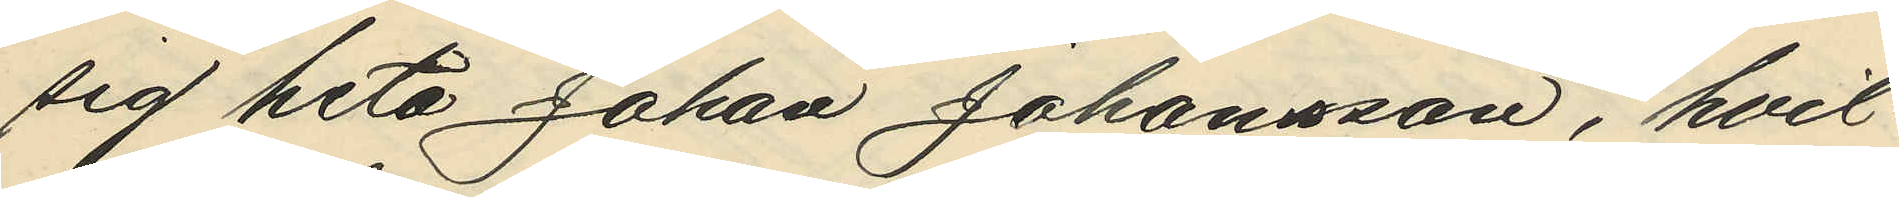sig heta Johan Johansson, hvil¬
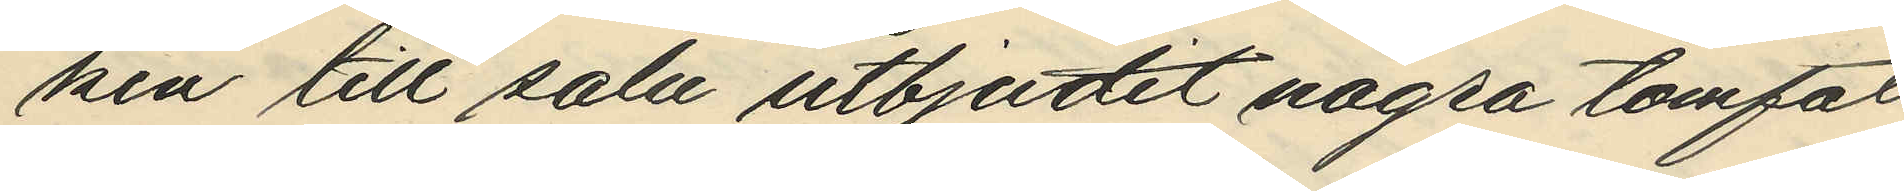ken till salu utbjudit nagra tomfat
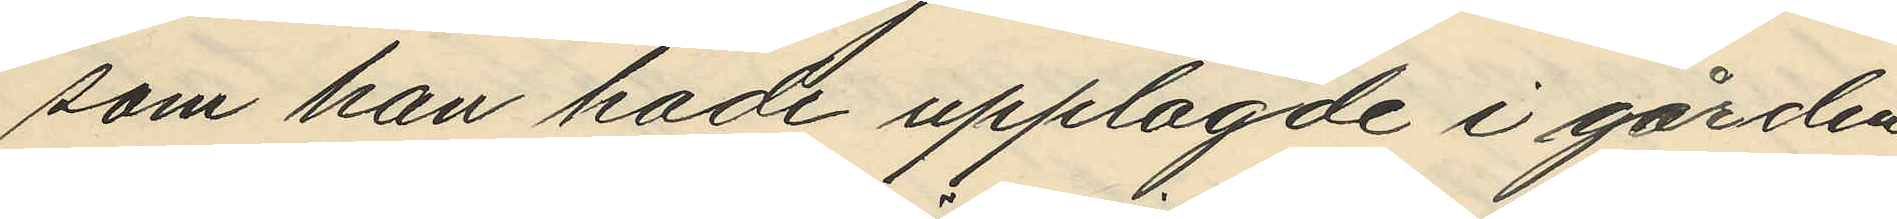som han hade upplagde i gården
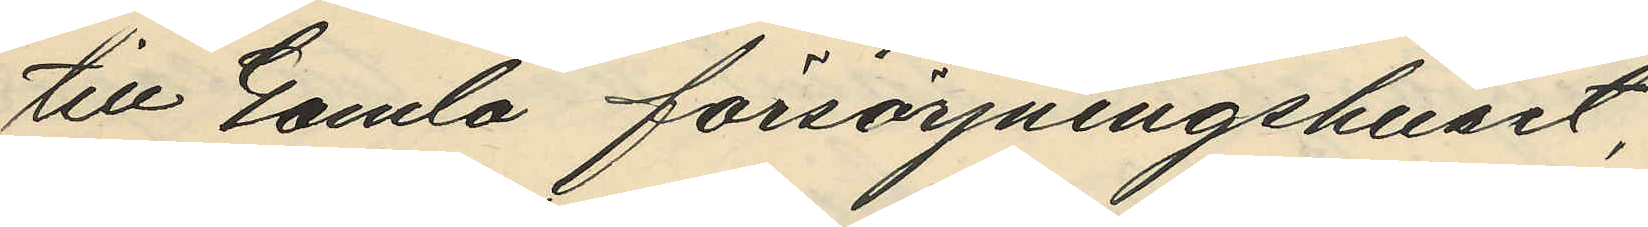till Gamla försörjningshuset,
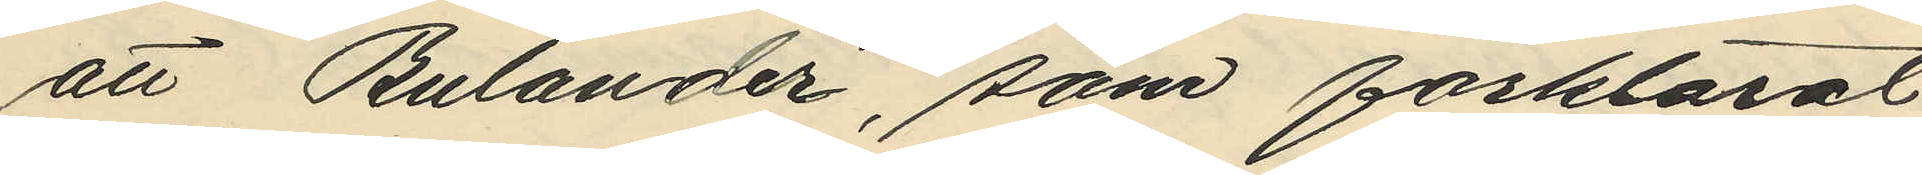att Bulander, som förklarat
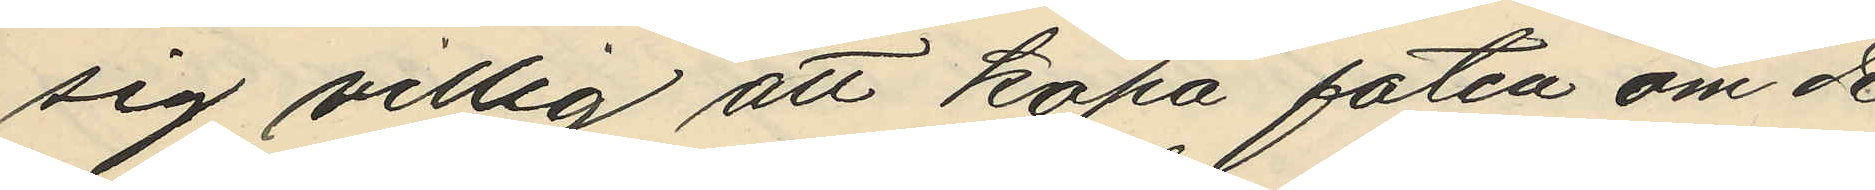sig villig att köpa faten om de
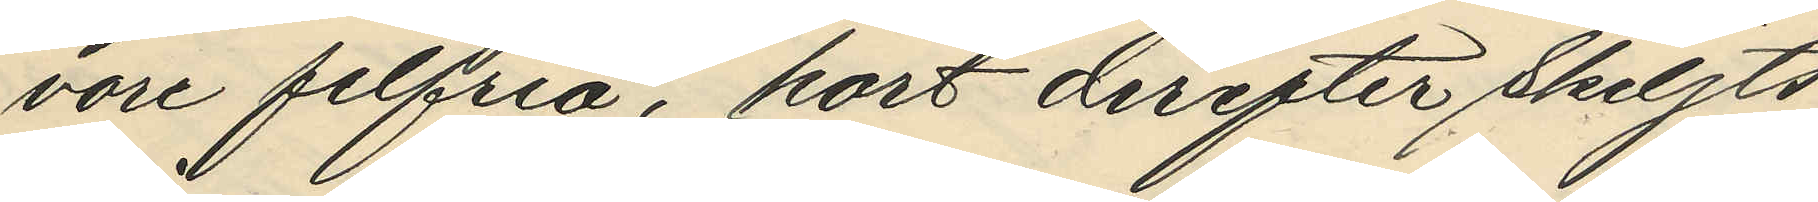vore felfria, kort derefter skiljts
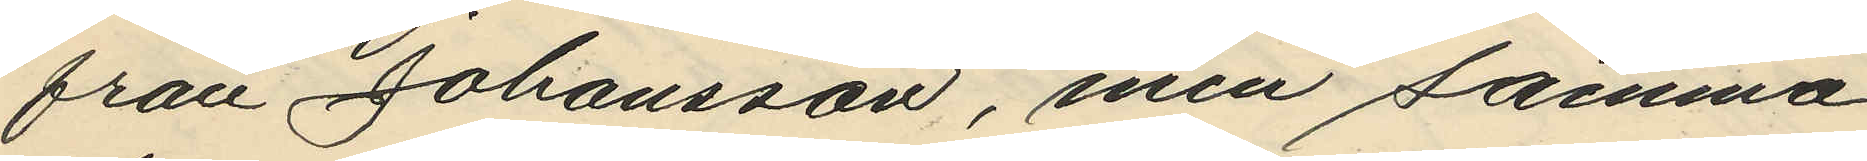från Johansson, men samma
